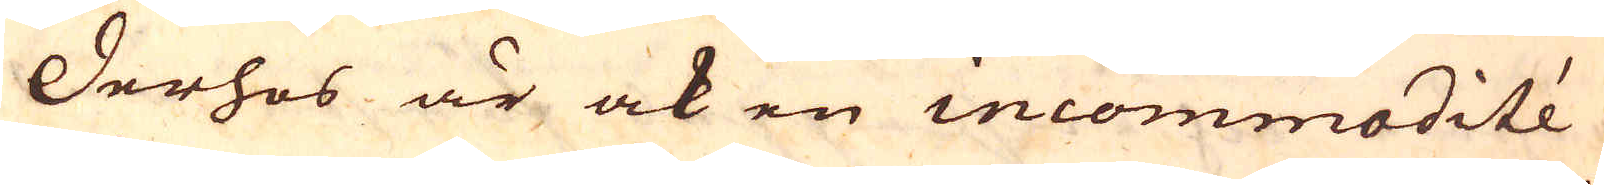Derhos är ock en incommodité
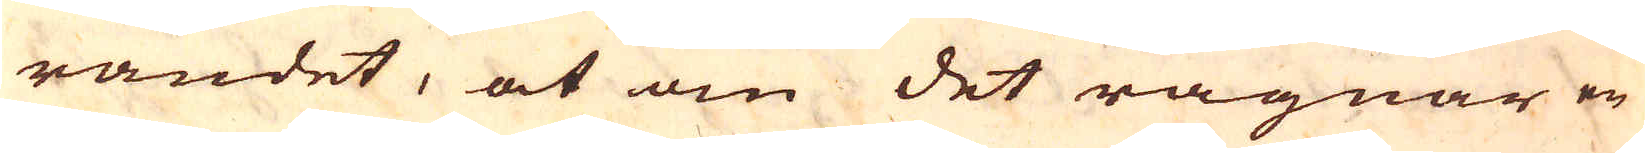randet, at om det rägnar en
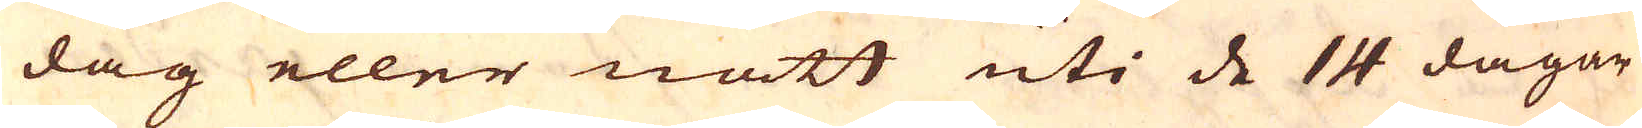dag eller natt uti de 14 dagar
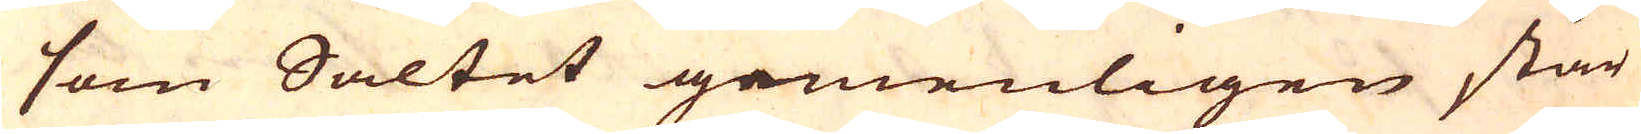som Saltet gemenligen står
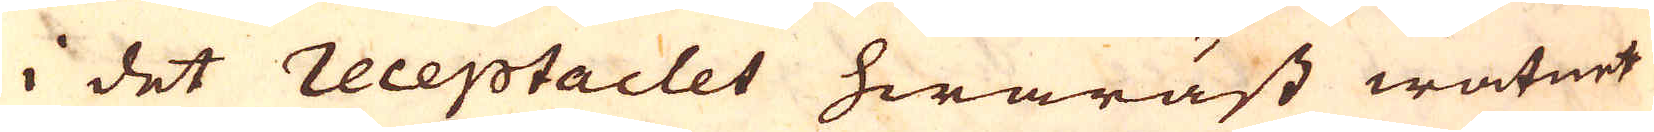i det receptaclet hwaräst watnet
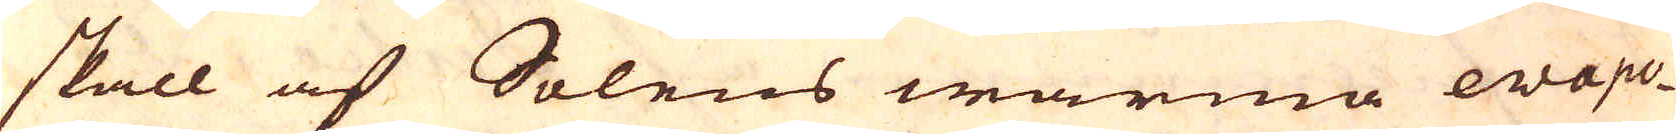skall af Solens warma ewapo-
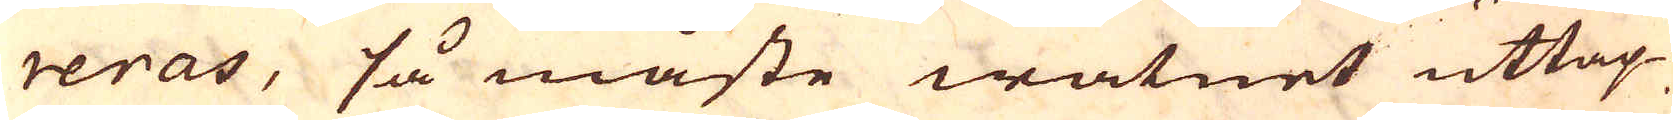reras, så måste watnet uttap-
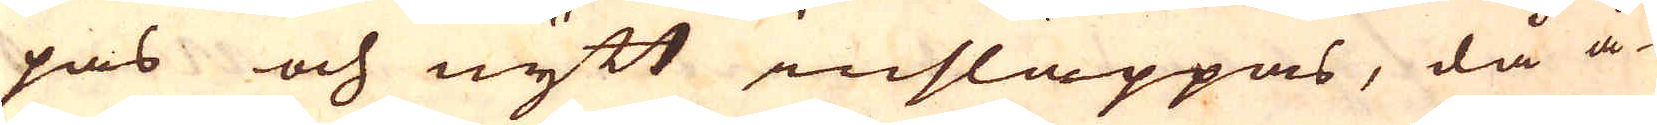pas och nytt insläppas, då å-
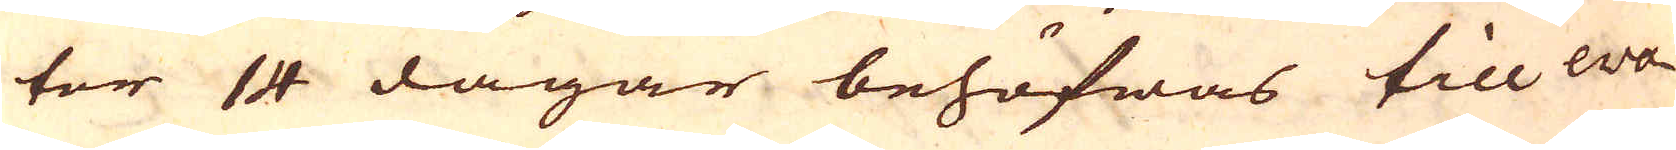ter 14 dagar behöfwas till ewa-
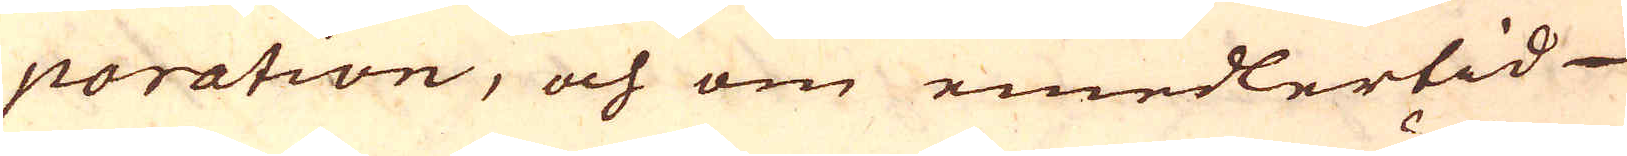poration, och om emedlertid
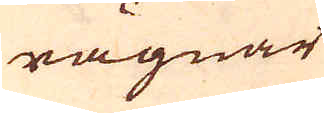rägnar
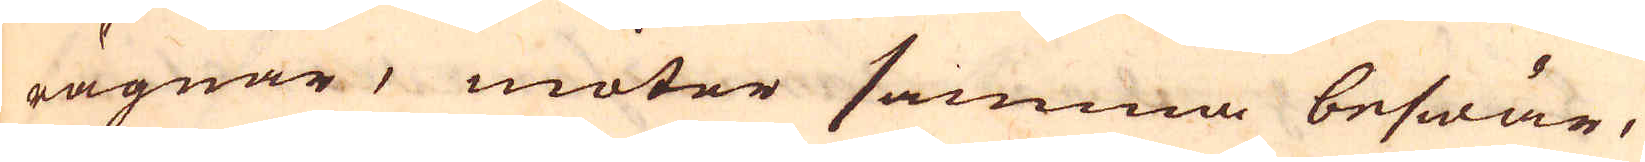rägnar, möter samma beswär,
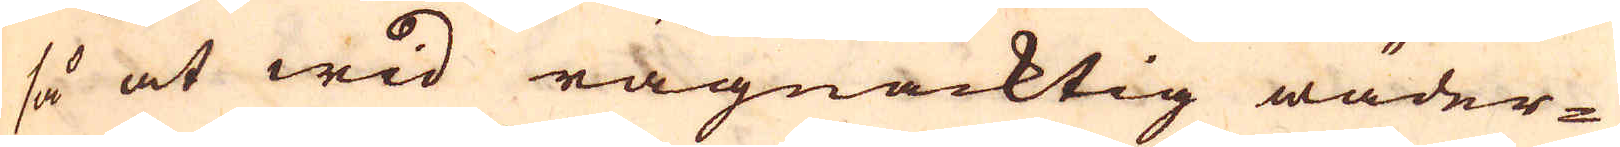så at wid rägnacktig wäder-
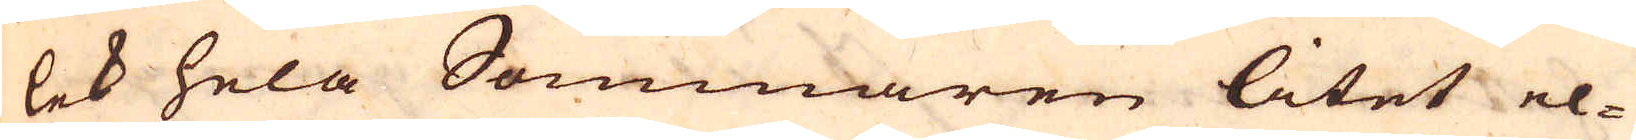lek hela Sommaren litet el-
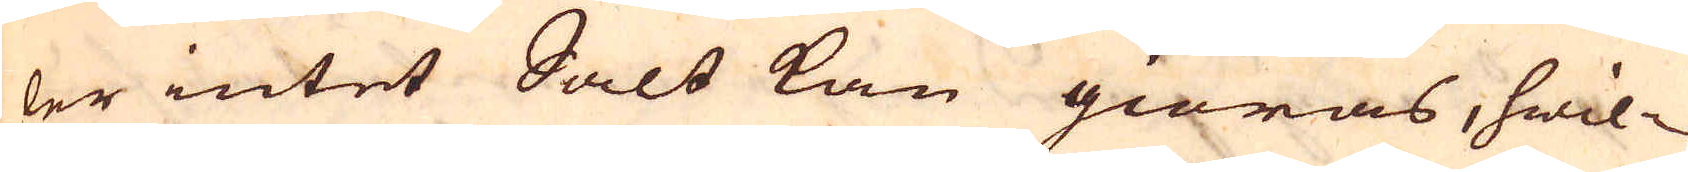ler intet Salt kan giöras, hwil-
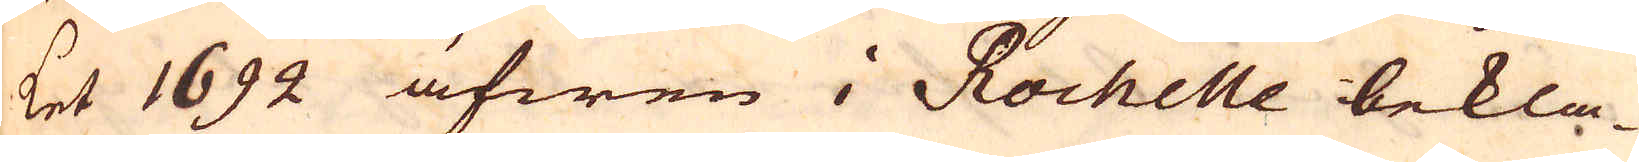ket 1692 äfwen i Rochelle bekla-
